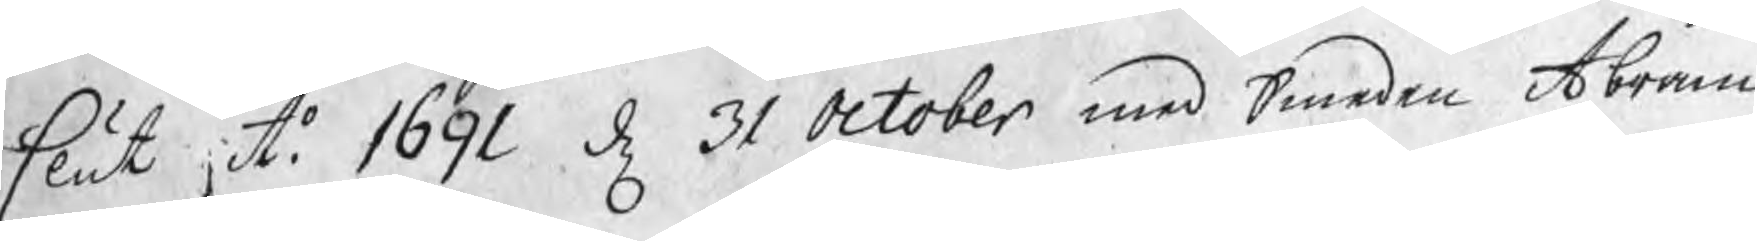slut uti 1691 d 31 October med Smeden Abram
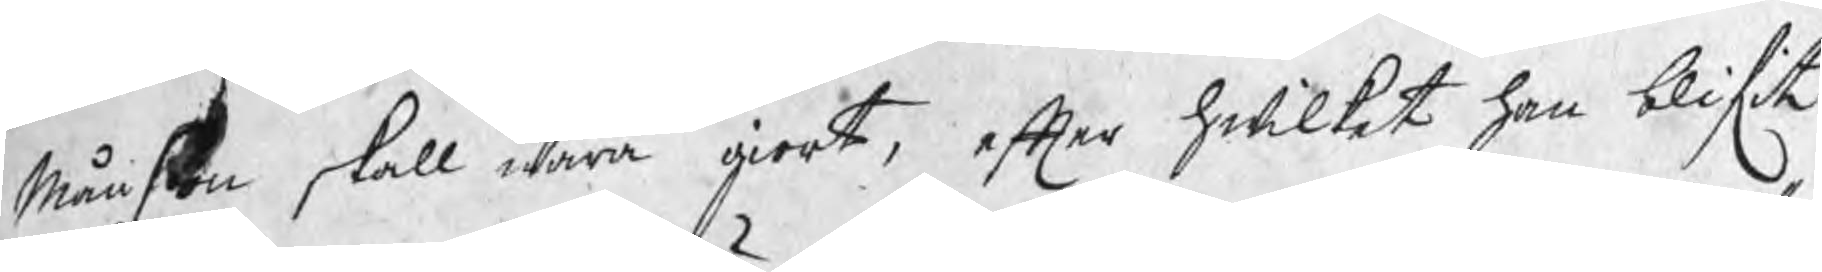Månson skall wara giort, efter hwilket han blifit
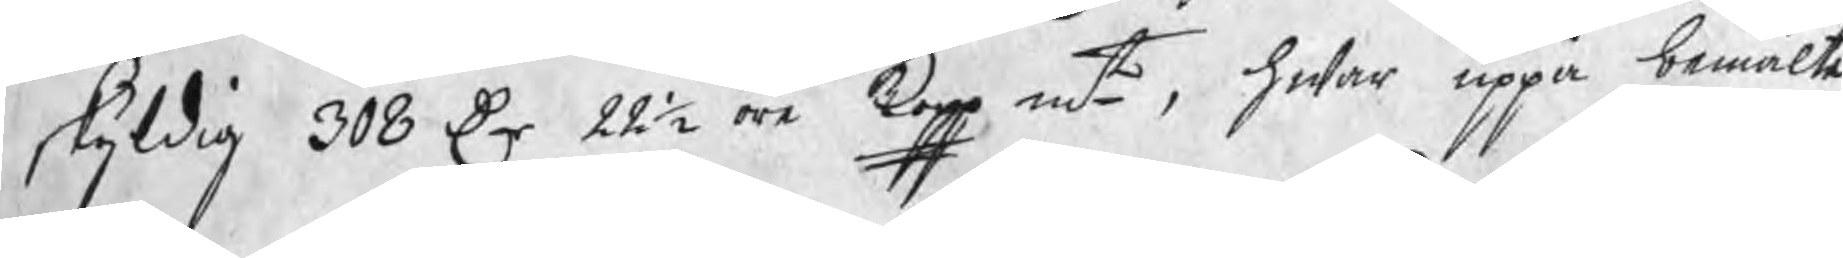skyldig 308 Dr 22½ öre kopp mt, hwar uppå bemälte
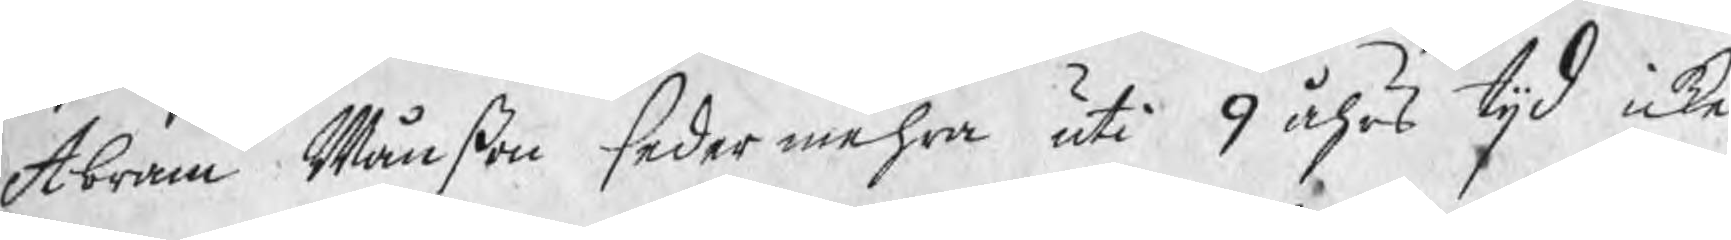Abram Månßon sedermehra uti 9 åhrs tijd icke
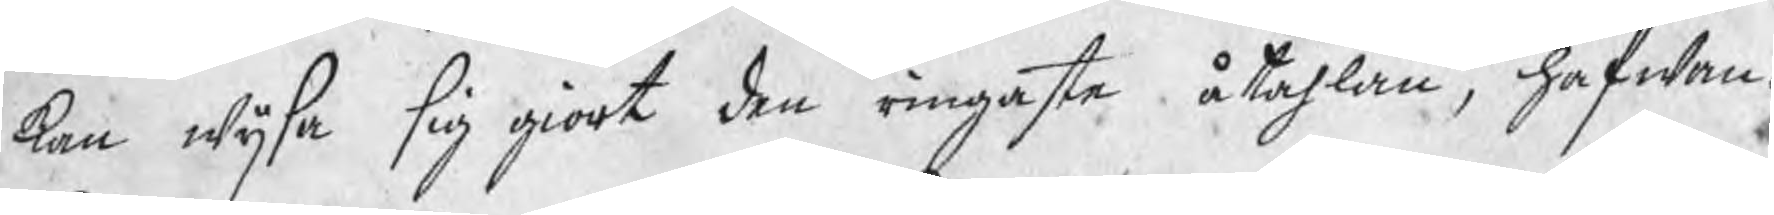kan wijsa sig giort den ringaste åtahlan, hafwan¬
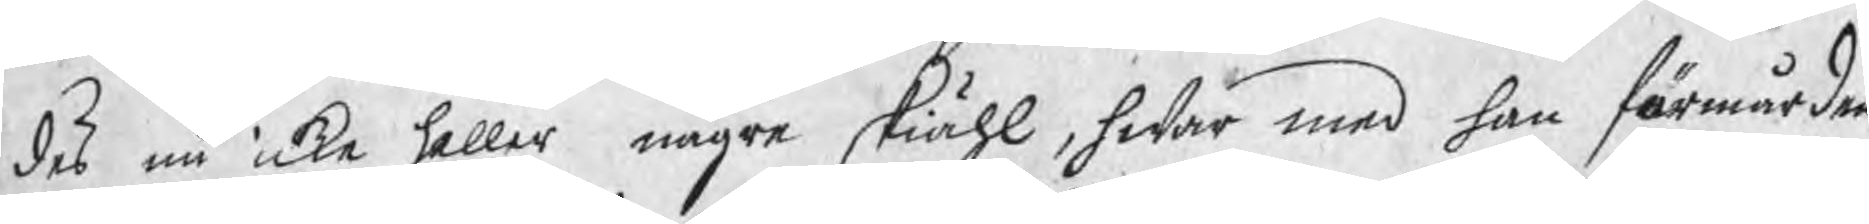des nu icke heller några skiähl, hwar med han förmår den¬
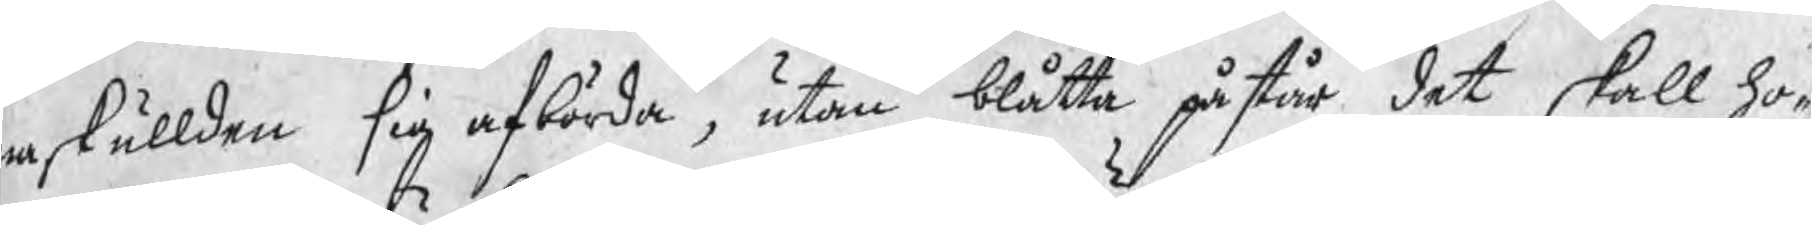a skullden sig afbörda, utan blåtta påstår det skall ho¬
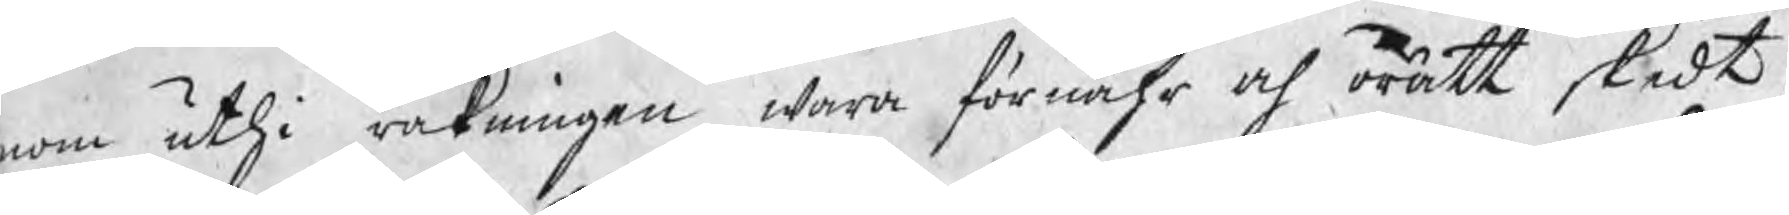nom uthi räkningen wara förnähr och orätt skedt,
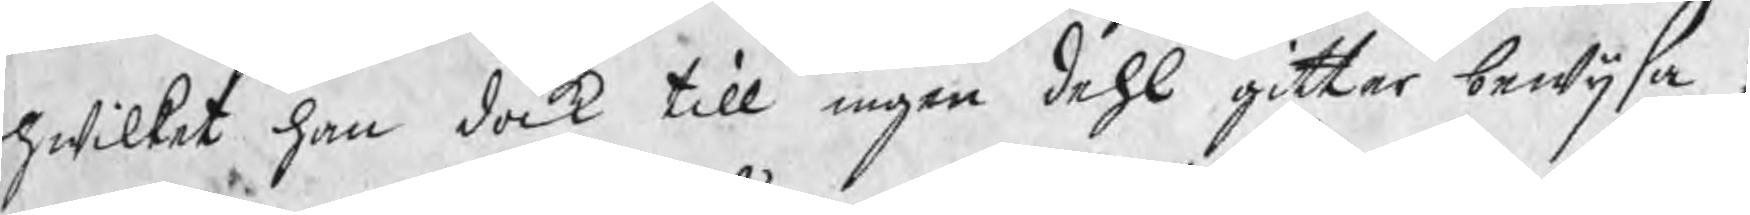hwilket han dock till ingen dehl gitter bewijsa;
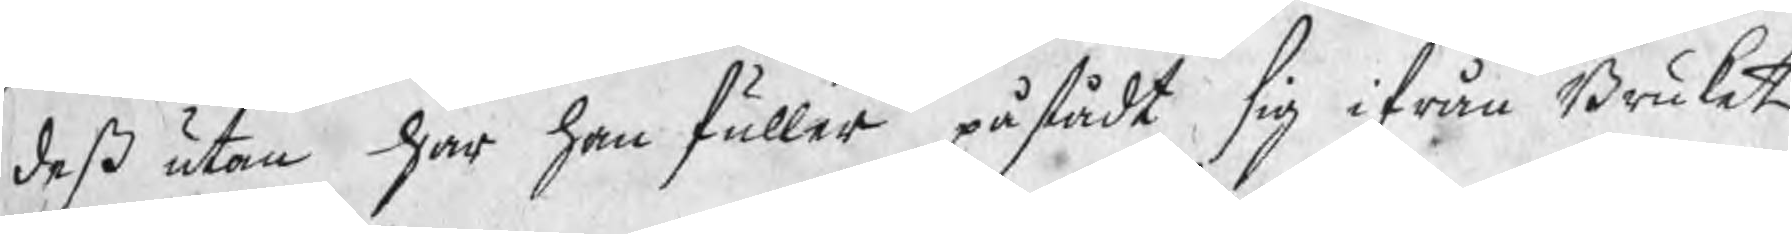deß utan har han fuller påstådt sig ifrån Bruket
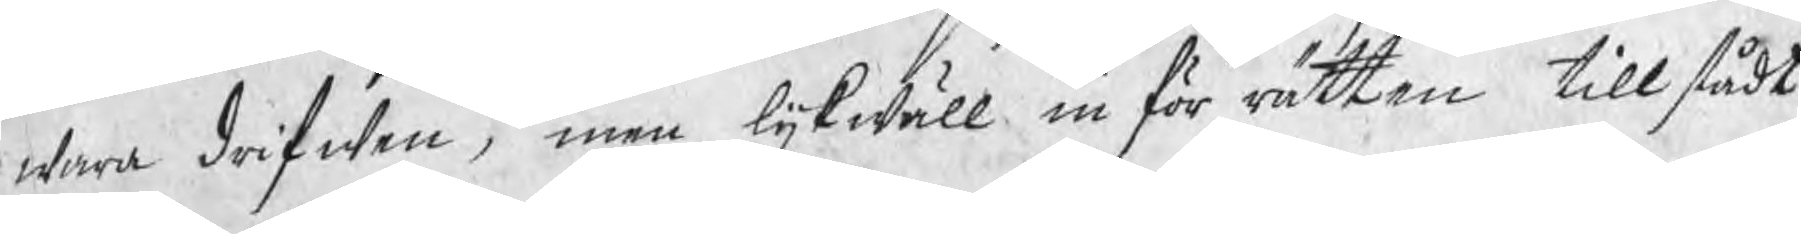wara drifwen, men lijkwäll in för rätten tillstådt
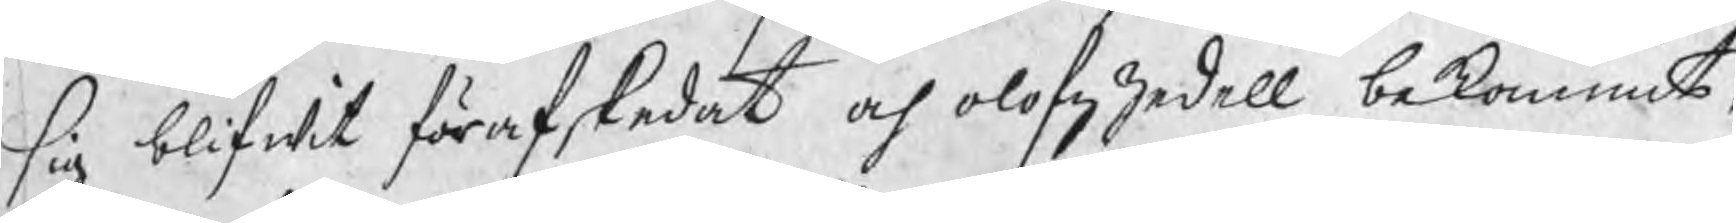sig blifwit förafskedat och olofzzedell bekommit;
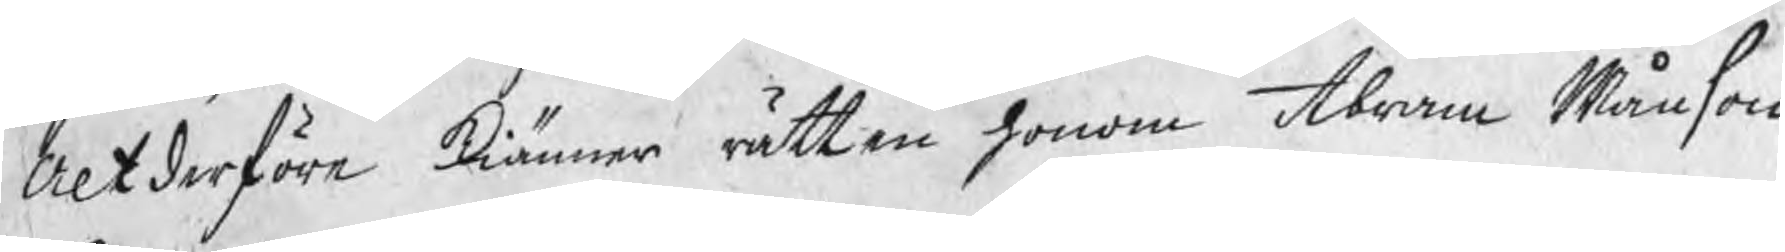Altderföre kiänner rätten honom Abram Månson
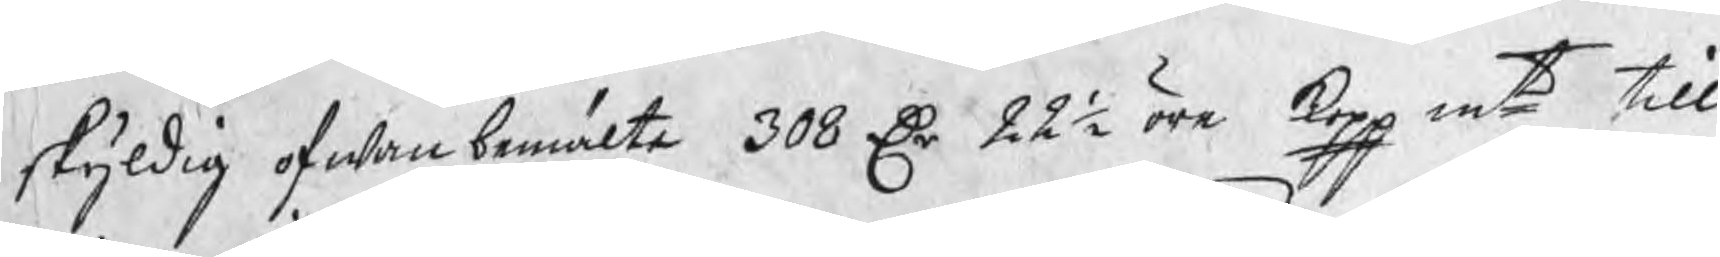skyldig ofwan bemälte 308 Dr 22½ öre kopp mt till
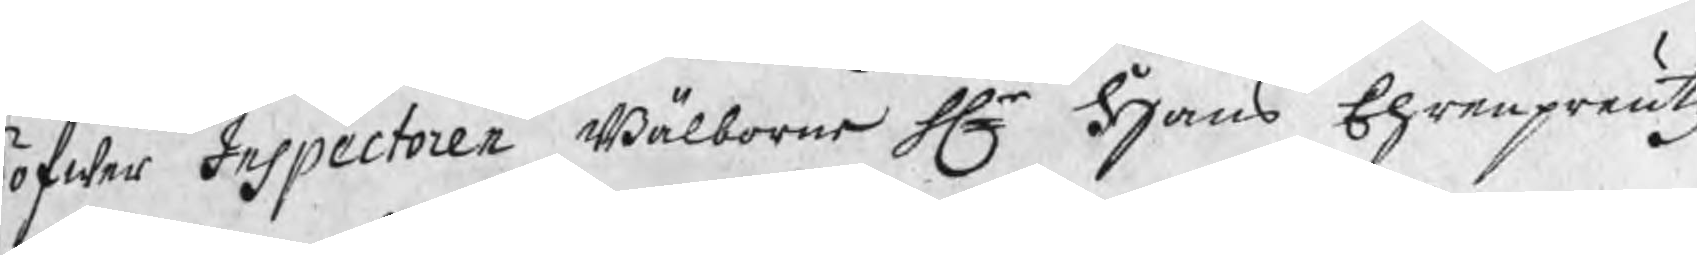öfwer Inspectoren Wälborne Hr Hans Ehrenpreutz
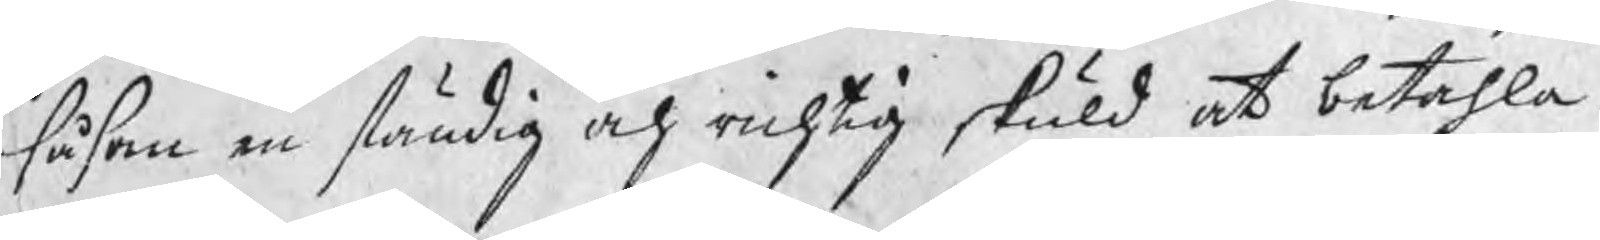såsom en ständig och richtig skuld at betahla.
